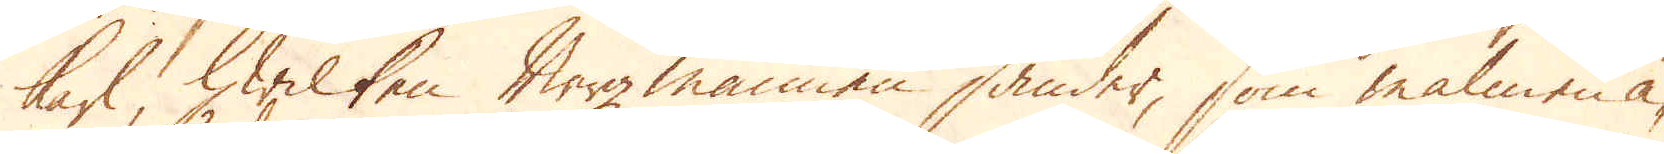karl hwilken bergmannen sänder, som malmen ä-
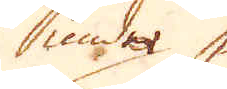under
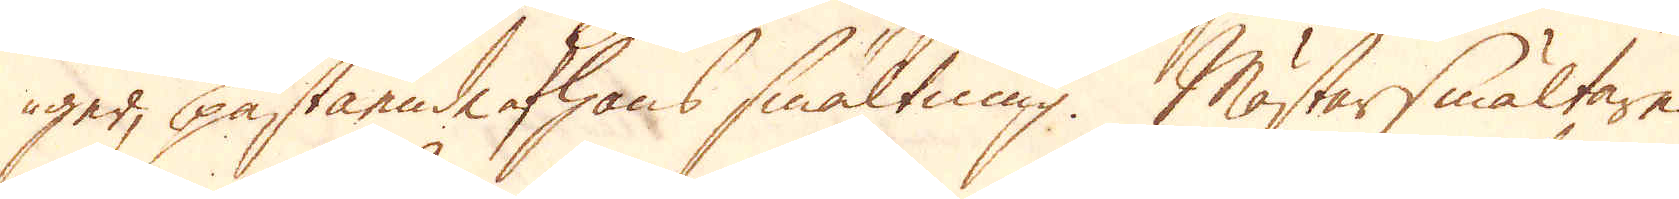ger, påstående hans smältning. Mästarsmältaren
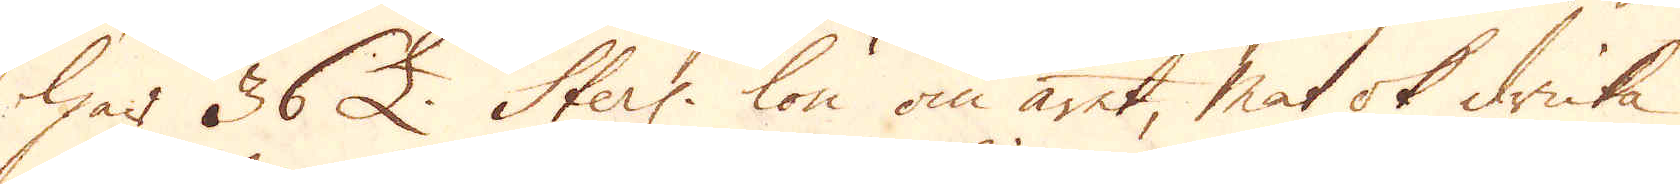har 36 £. Sterl: lön om året, mat ok dricka
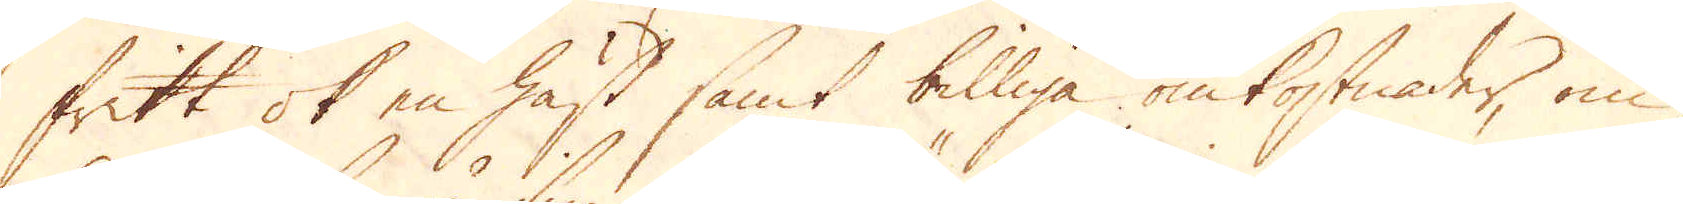fritt ok en häst samt billiga omkostnader, om
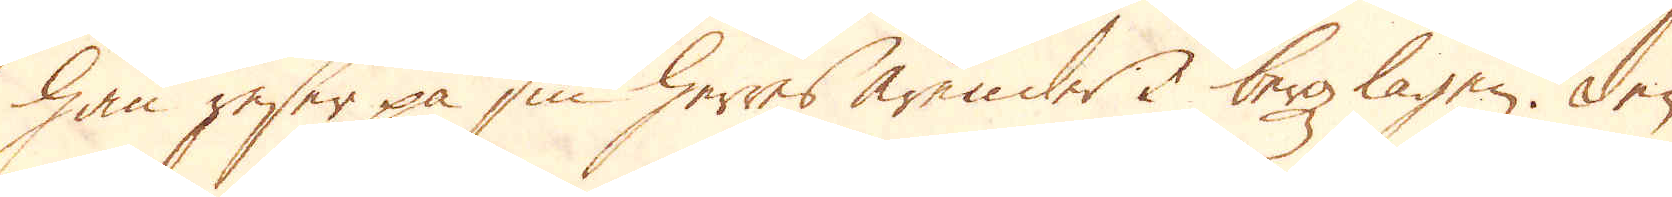han reser på sin herres ärender i bergzlagen. Den
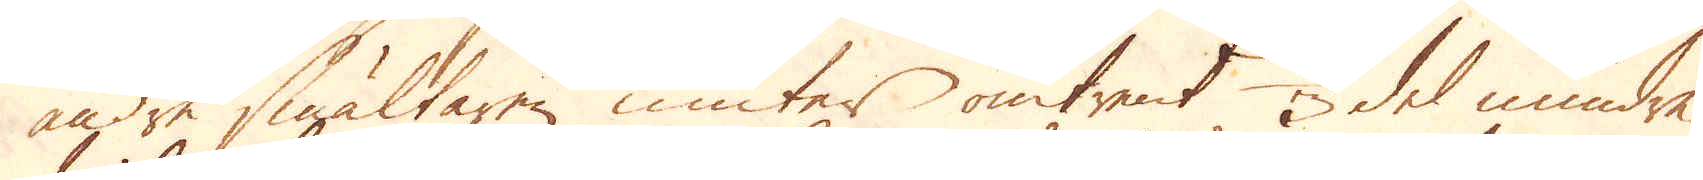andre smältaren niuter omtrent 1/3 del mindre.
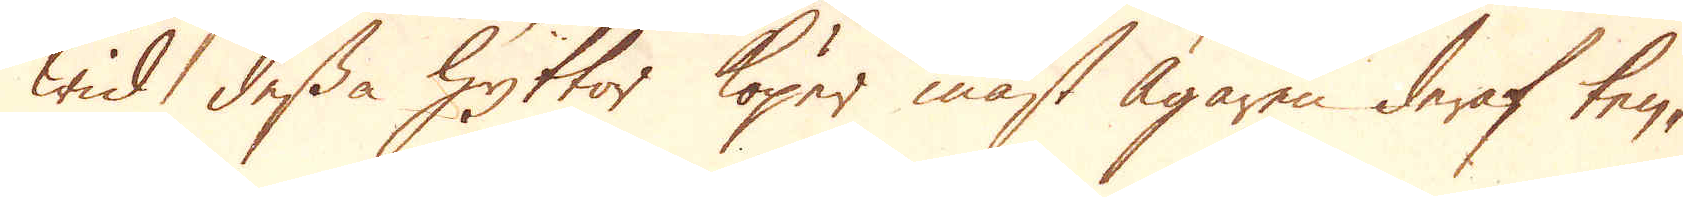wid dessa Hyttor köper mäst Ägaren deraf tenn-
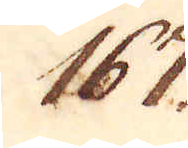167.
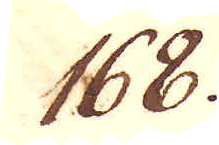168.
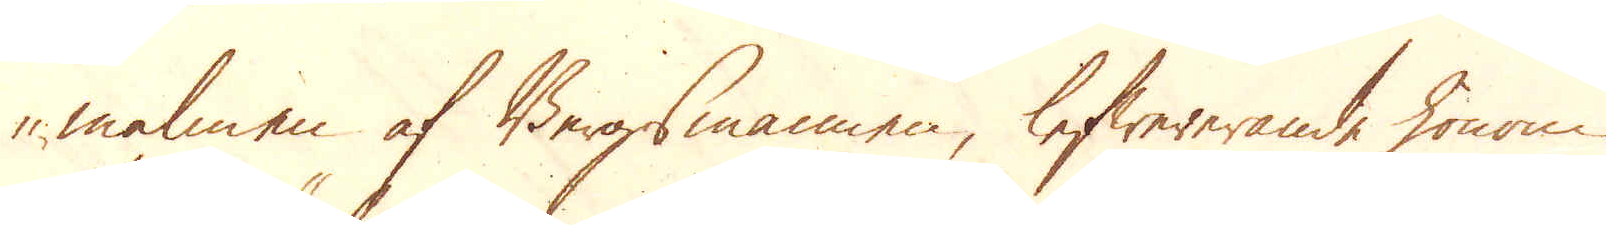malmen af Bergsmannen, lefwererande honom
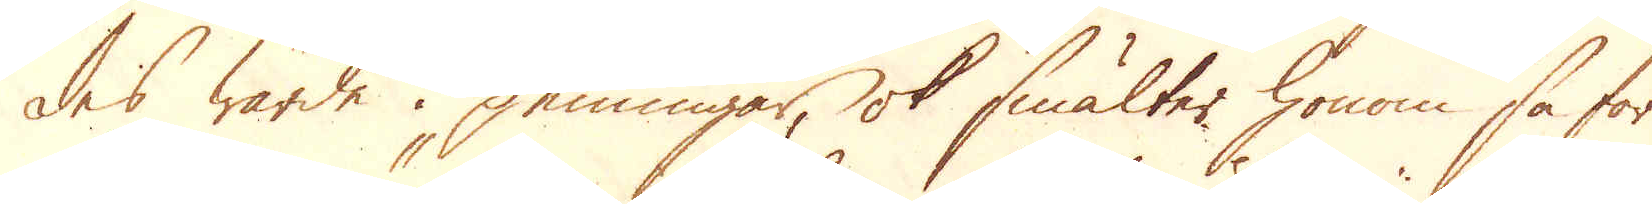des wärde i penningar, ok smälter honom så för
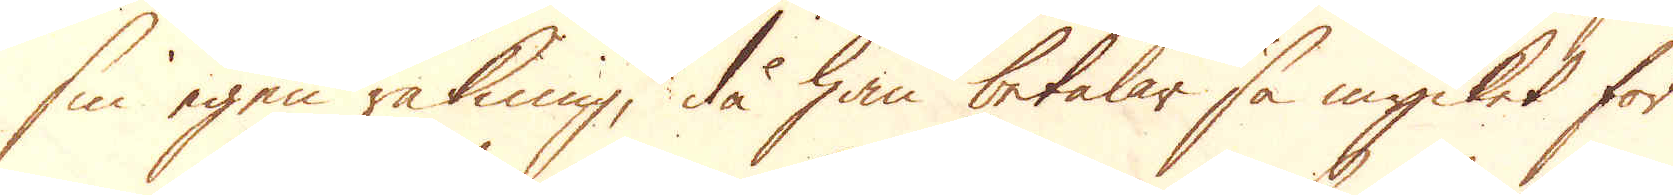sin egen räkning, då han betalar så mycket för
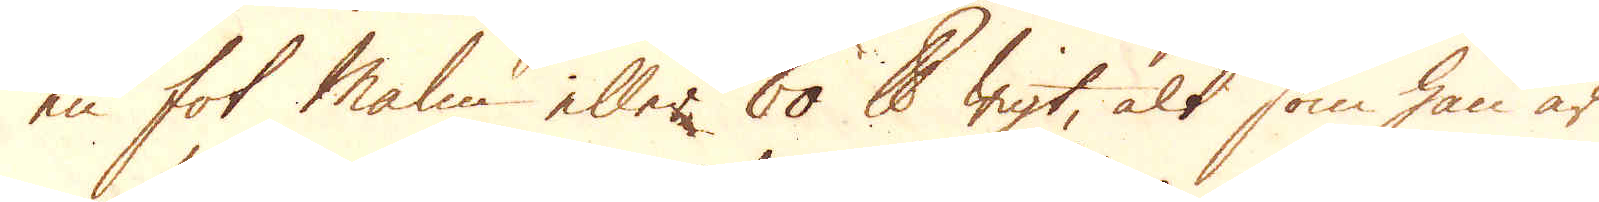en fot Malm eller 60 skålpunds wigt, alt som han är
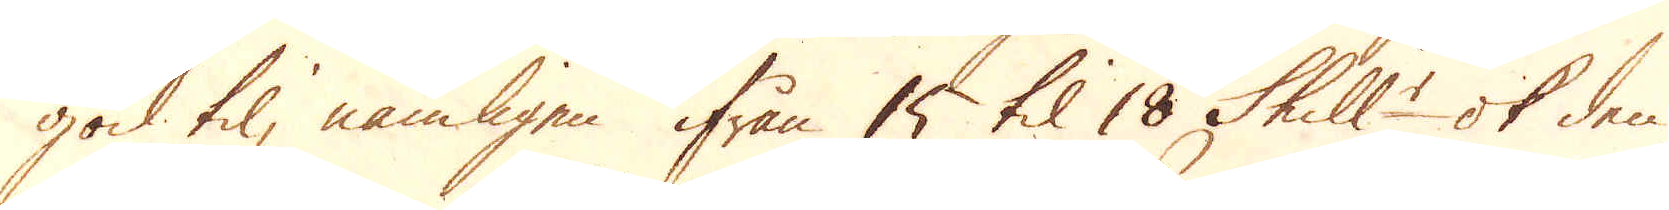god til, nämligen ifrån 15 til 18 Skill:r ok den
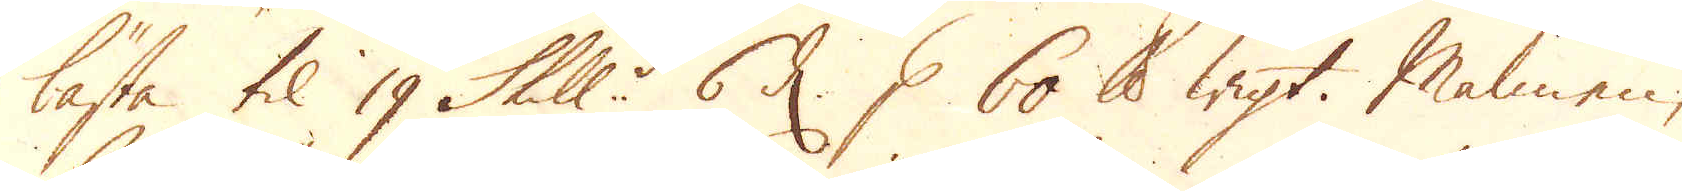bästa til 19 Skill:r 6 d. p 60 skålpunds wigt. Malmen,
